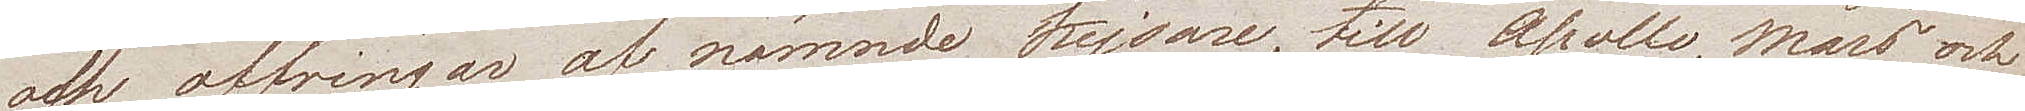och offringar af nämnde Kejsare, till Apollo, Mars och
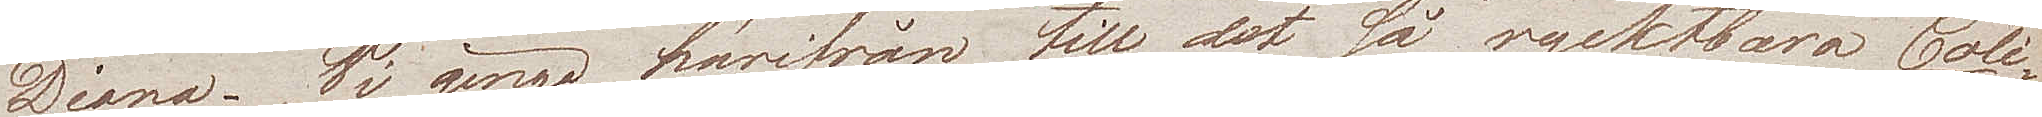Diana. Vi gingo härifrån till det så ryktbara Coli¬
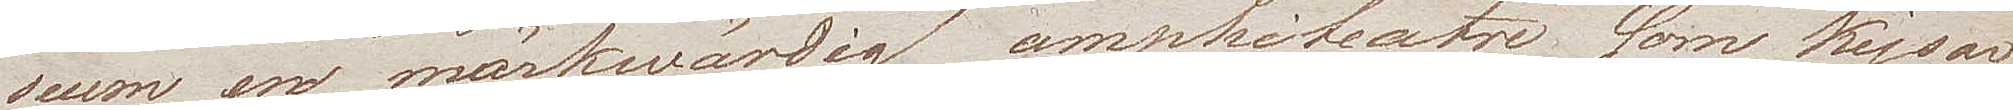seum, en märkwärdig amphiteatre som Kejsar
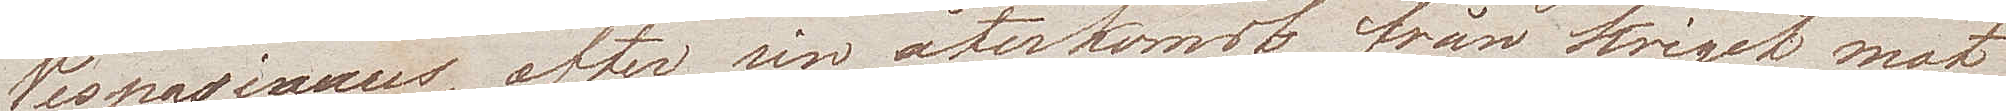Vespasianus, efter sin återkomst från kriget mot
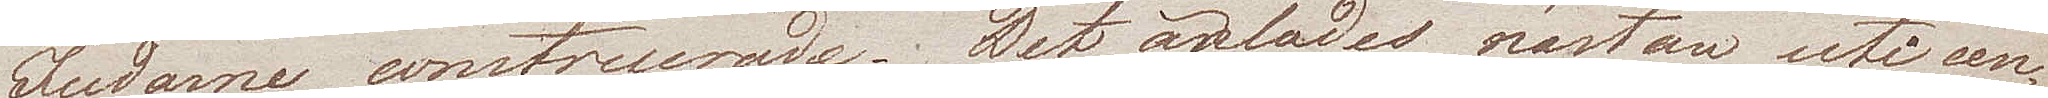Judarne, construerade. Det anlades nästan uti cen¬
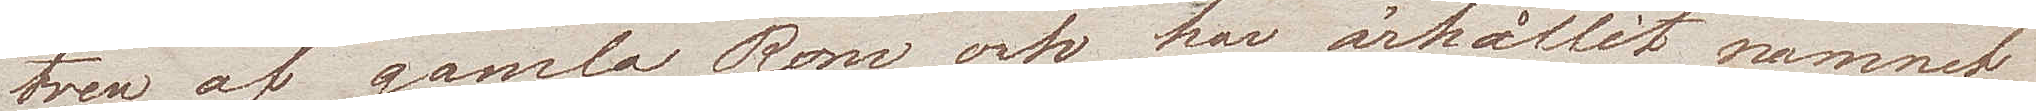tren av gamla Rom, och har ärhållit namnet
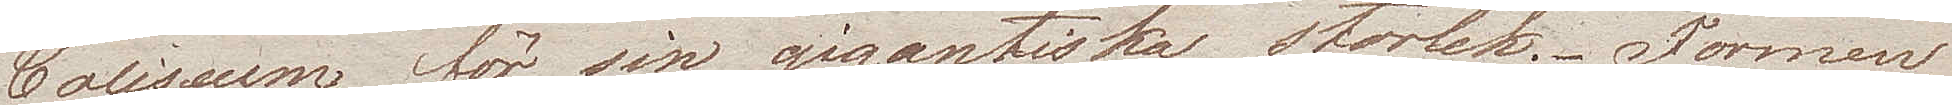Coliseum för sin gigantiska storlek. Formen
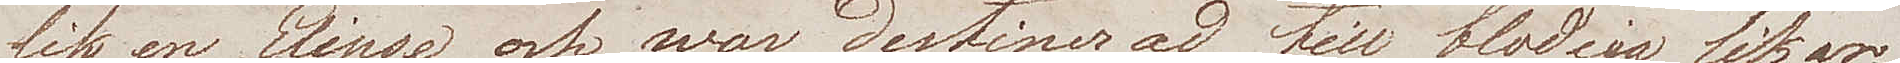lik en Elipse, och war destinerad till blodiga lekar.
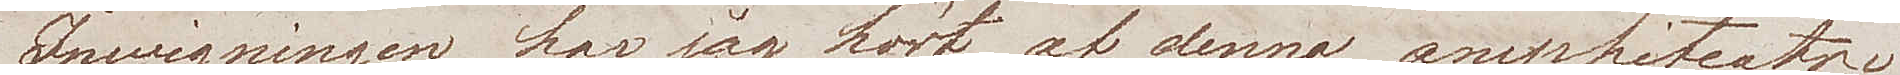Invigningen, har jag hört, af denna amphiteatre
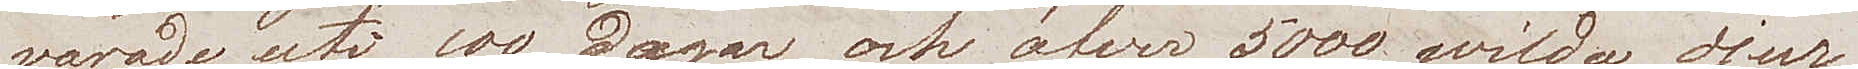varade uti 100 dagar, och öfver 5000 wilda djur
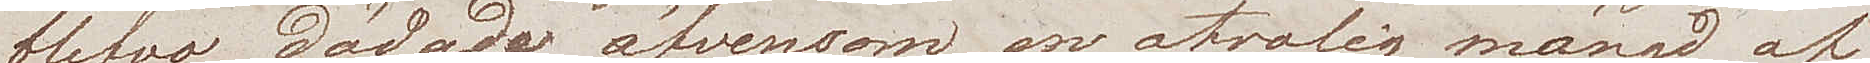blefvo dödade äfvensom en otrolig mängd af
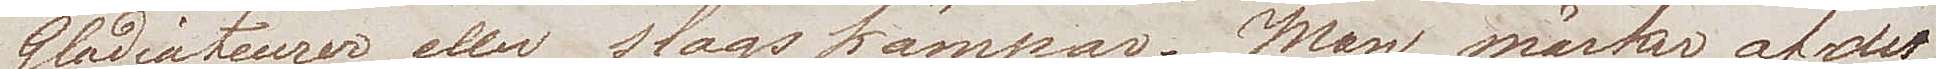Gladiateurer eller slagskämpar. Man märker af det
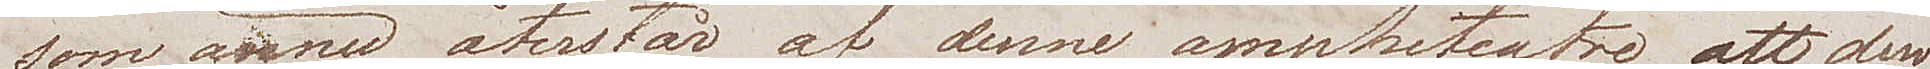som ännu återstår af denne amphiteatre, att den
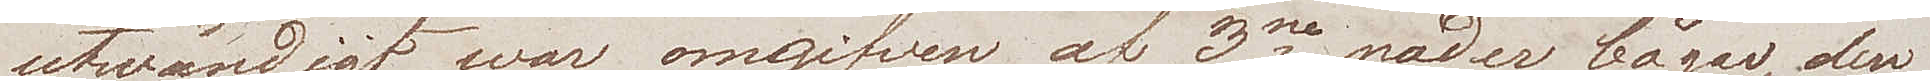utwändigt war omgifven af 3ne rader bågar, den
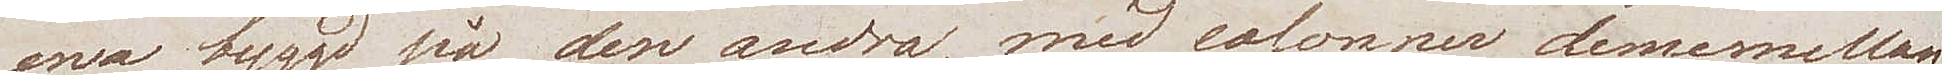ena bygd på den andra, med colonner deremellan
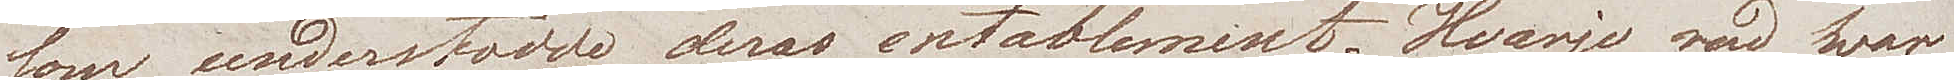som understödde deras entablement. Hvarje rad hvar
